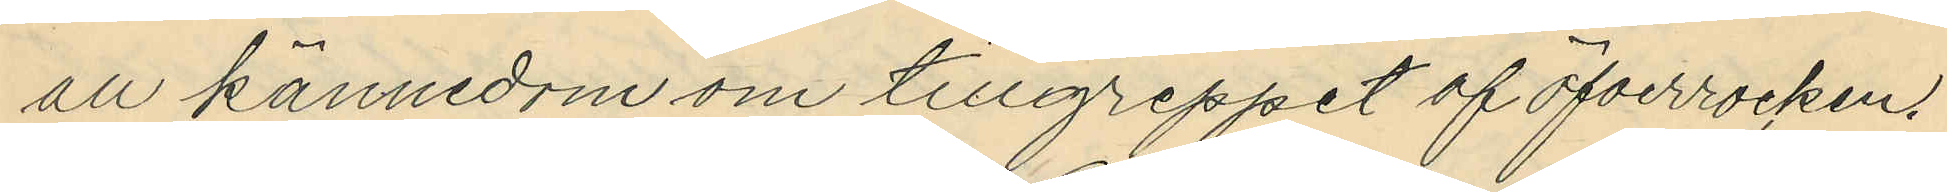all kännedom om tillgreppet af öfverrocken.
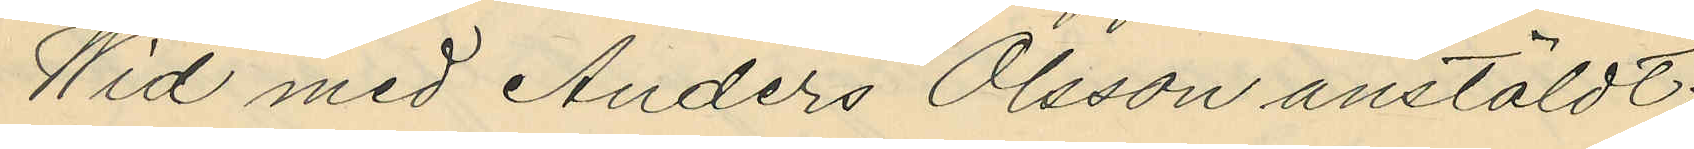Wid med Anders Olsson anstäldt
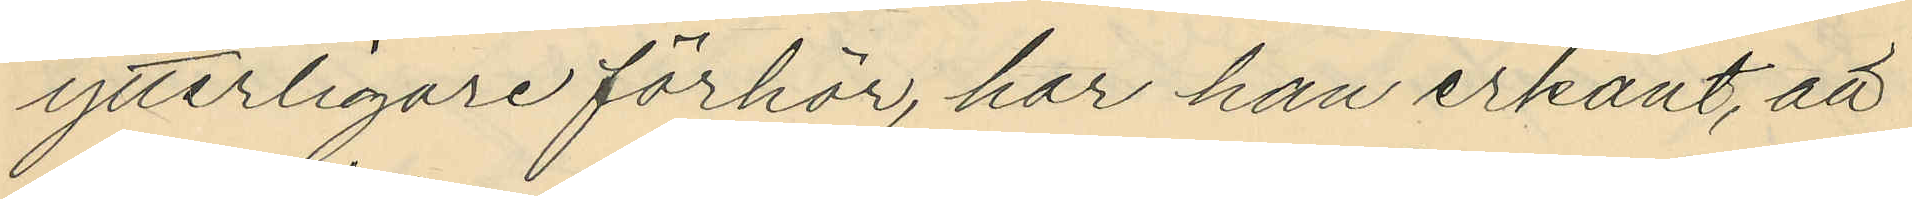ytterligare förhör, har han erkänt, att
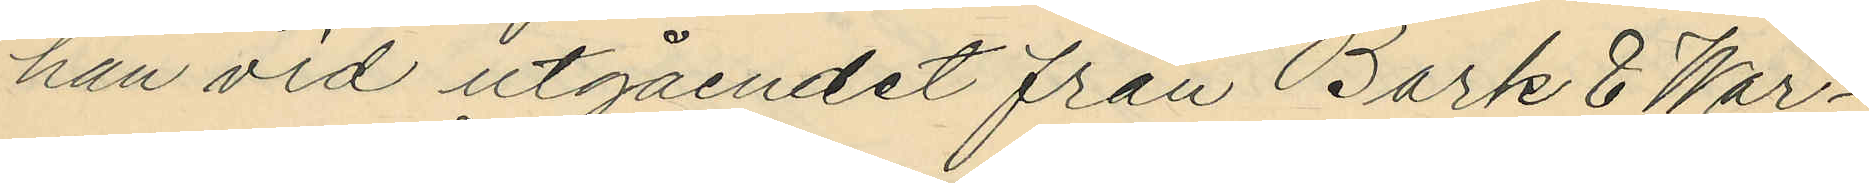han vid utgåendet från Bark & War¬
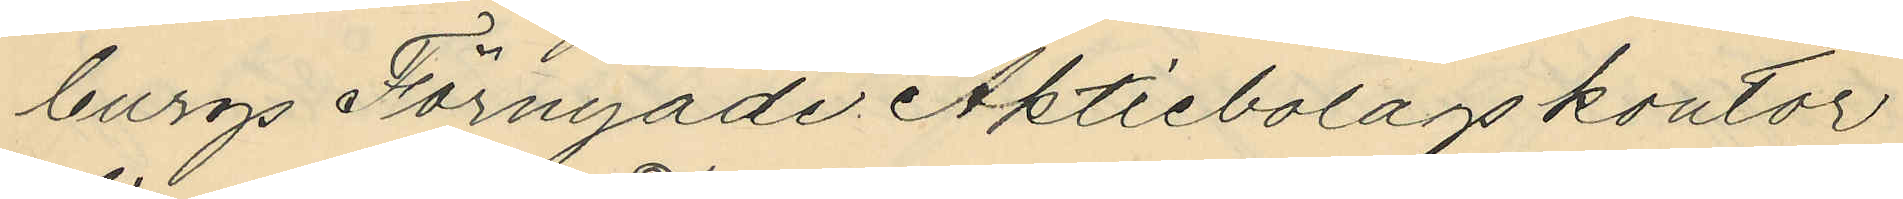burgs Förnyade Aktiebolags kontor
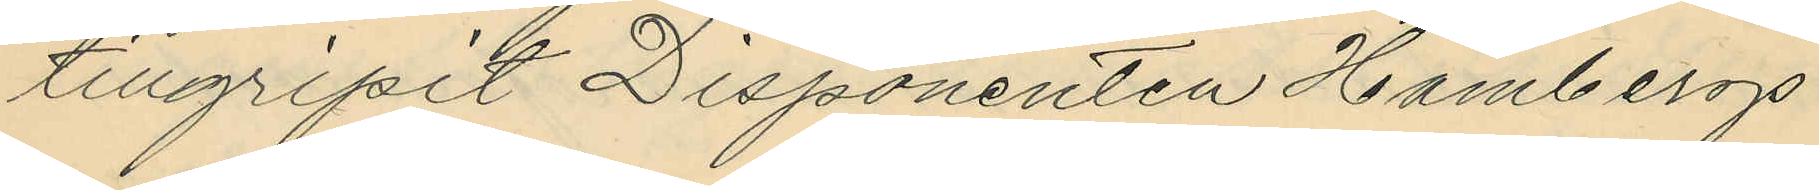tillgripit Disponenten Hambergs
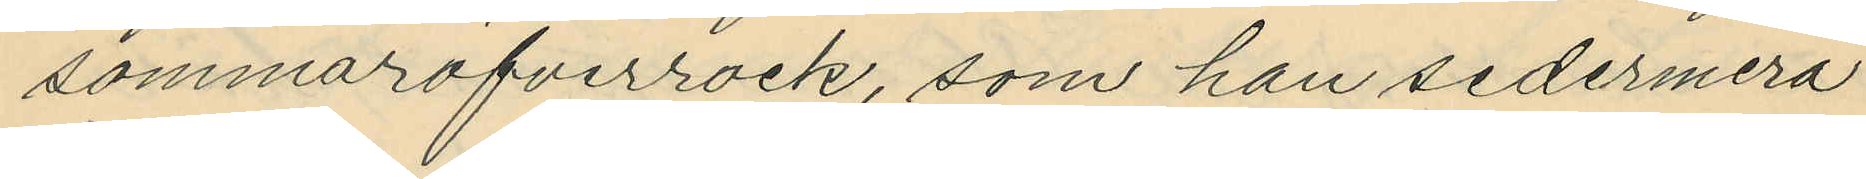sommaröfverrock, som han sedermera
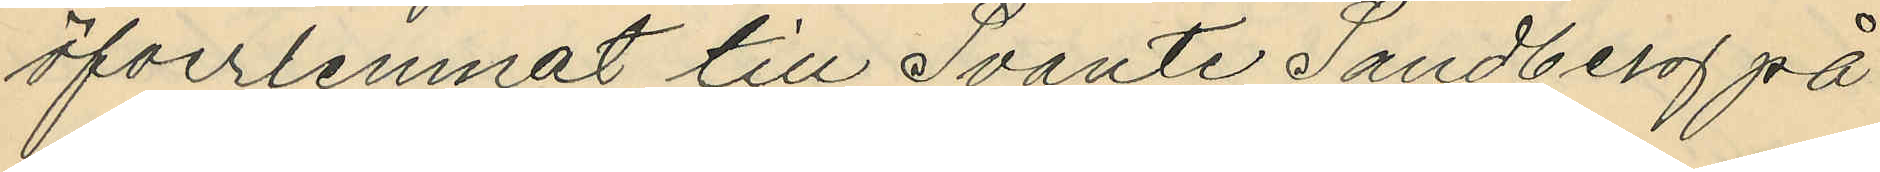öfverlemnat till Svante Sandberg på
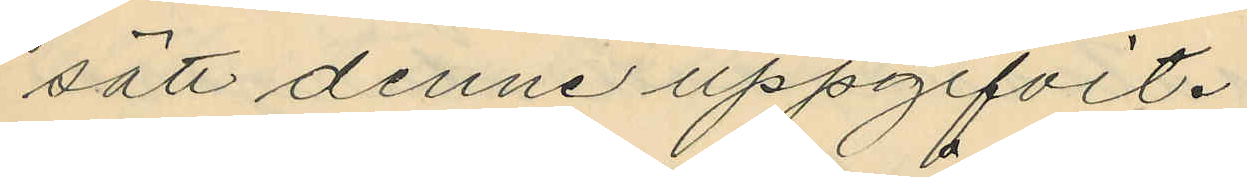sätt denne uppgifvit.
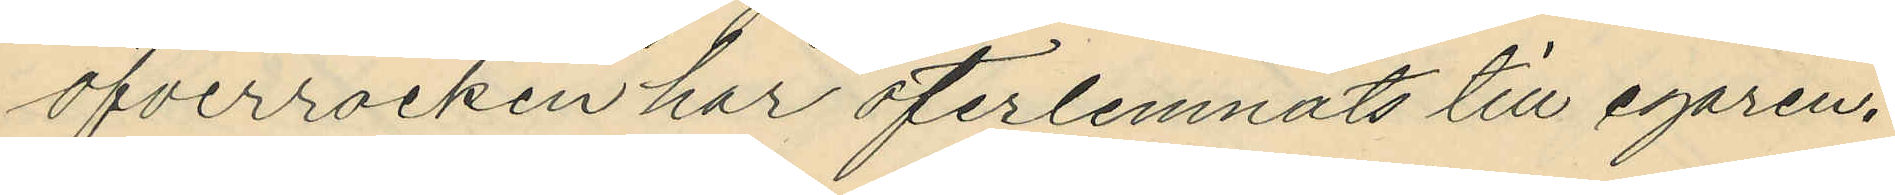Öfverrocken har öferlemnats till egaren.
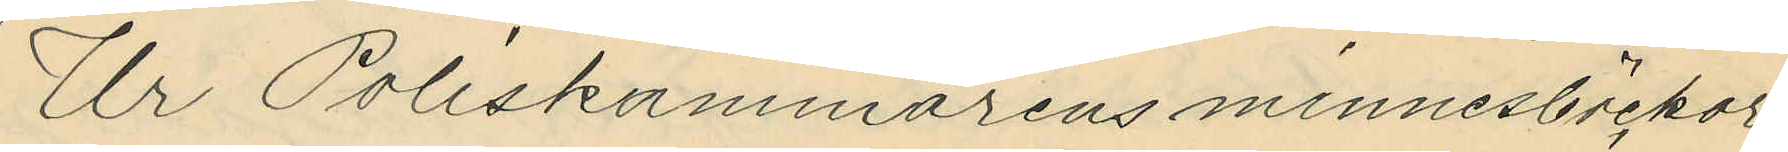Ur Poliskammarens minnesböckor
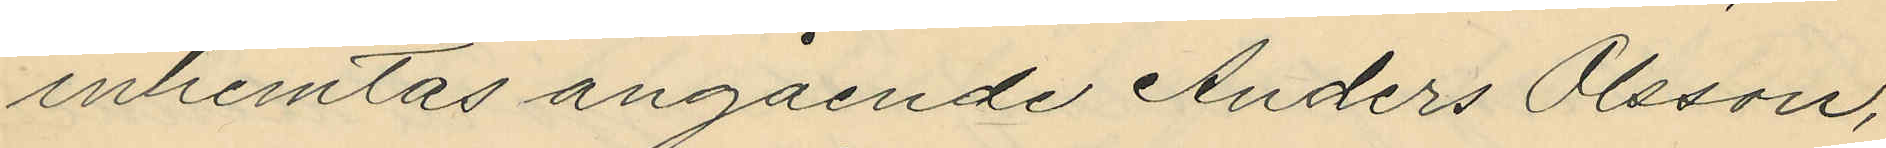inhemtas angående Anders Olsson,
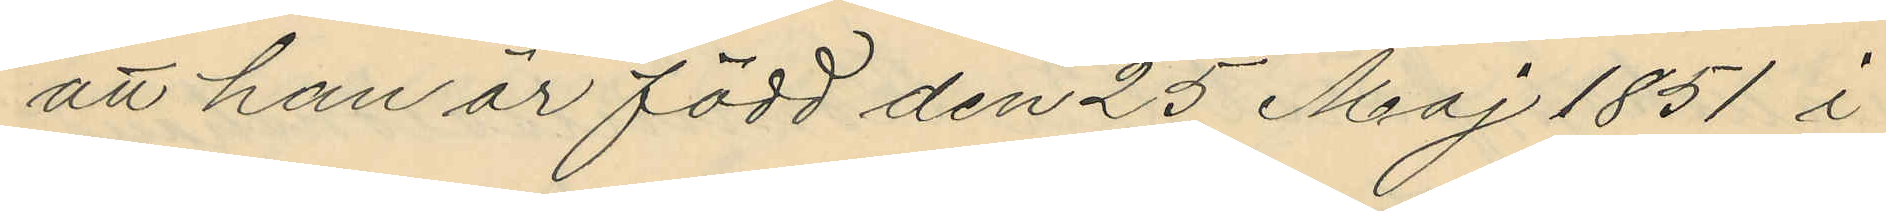att han är född den 25 Maj 1851 å
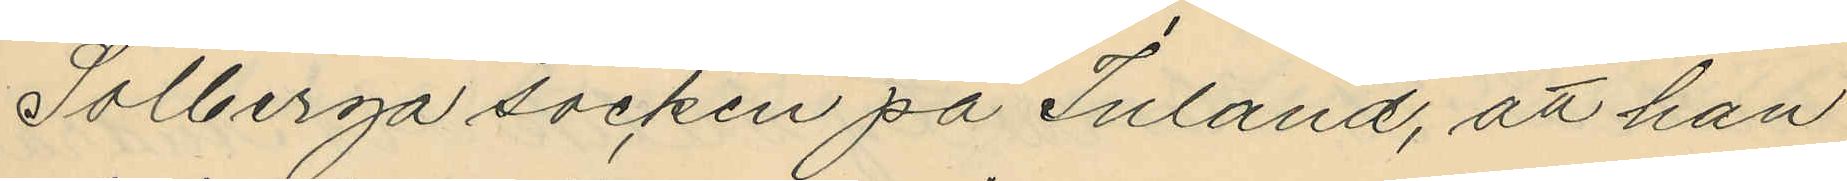Solberga socken på Inland, att han
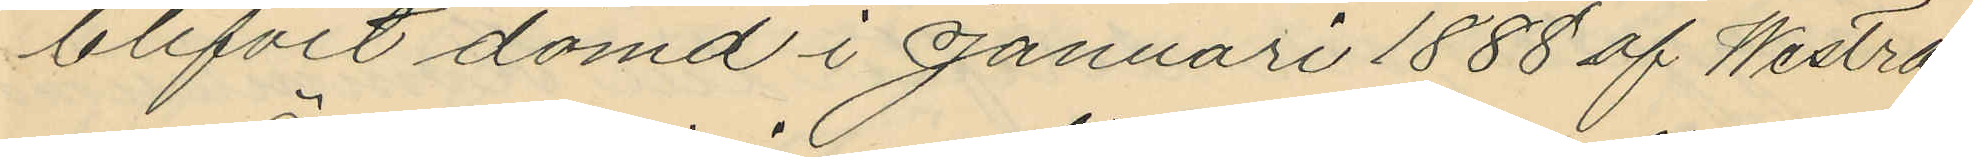blifvit dömd i Januari 1888 af Westra
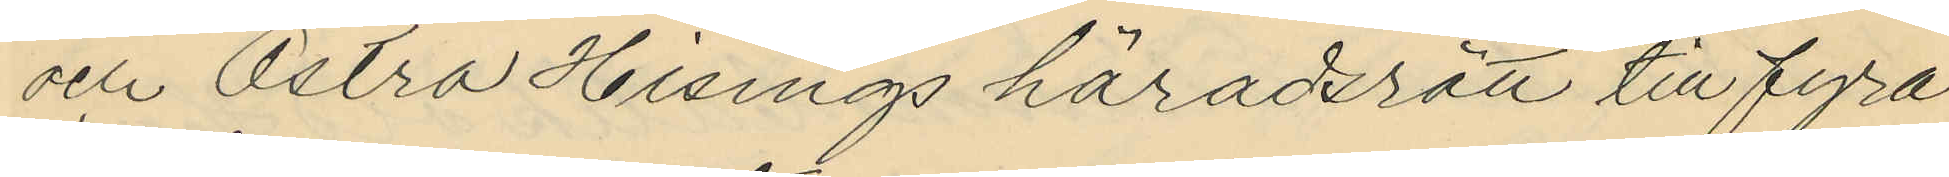och Östra Hisings häradsrätt till fyra
